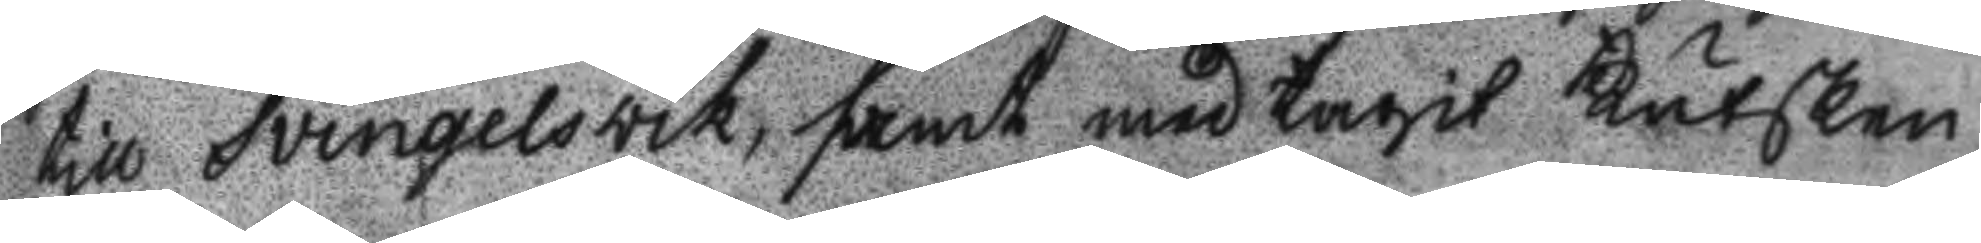till Svingelsvik, samt med tagit kutsken
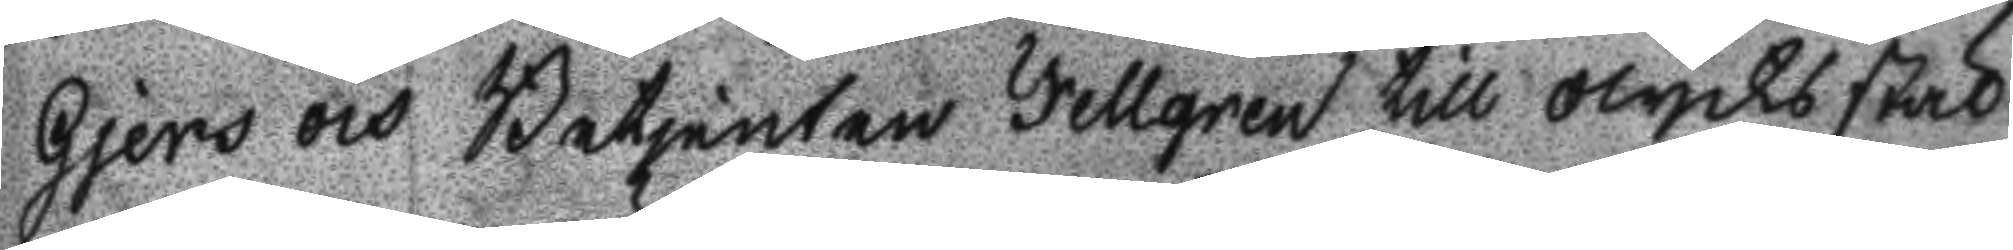Gjers och Betjenten Fellgren till olycksstäl
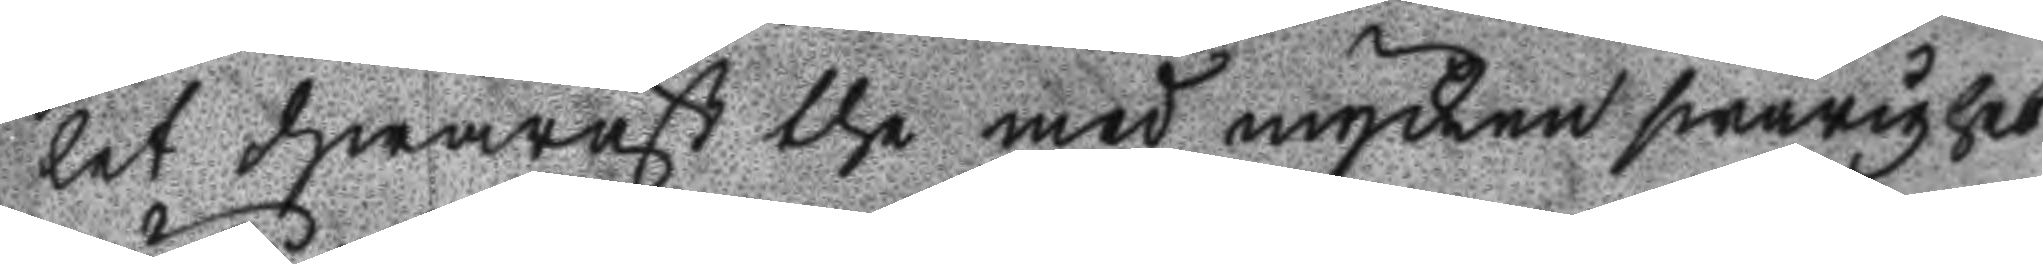let hwarnäst the med mycken swårighet
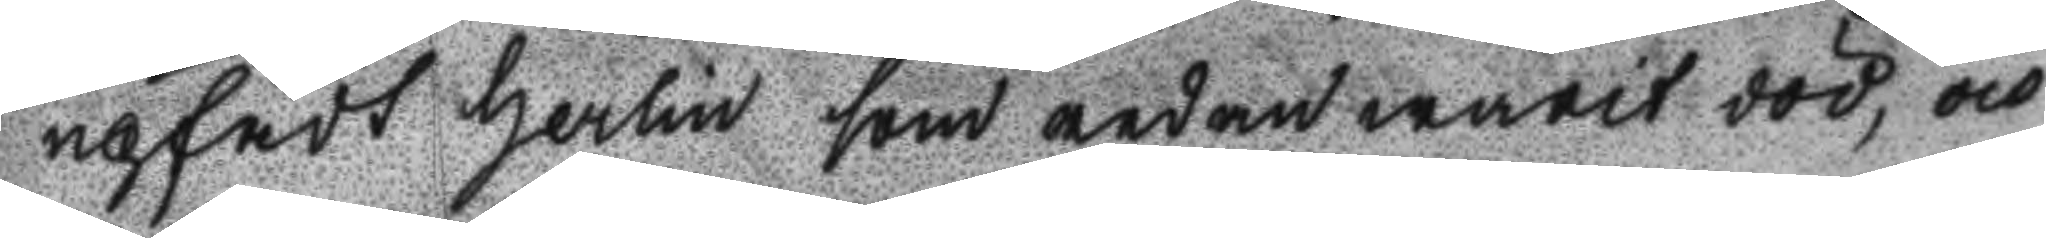upfådt Herlin som redan warit död, och
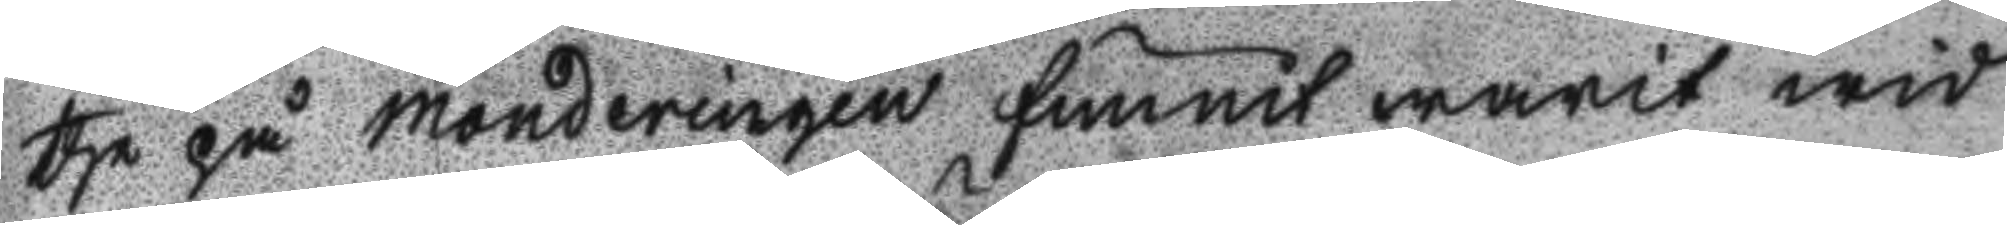the på monderingen funnit warit wid
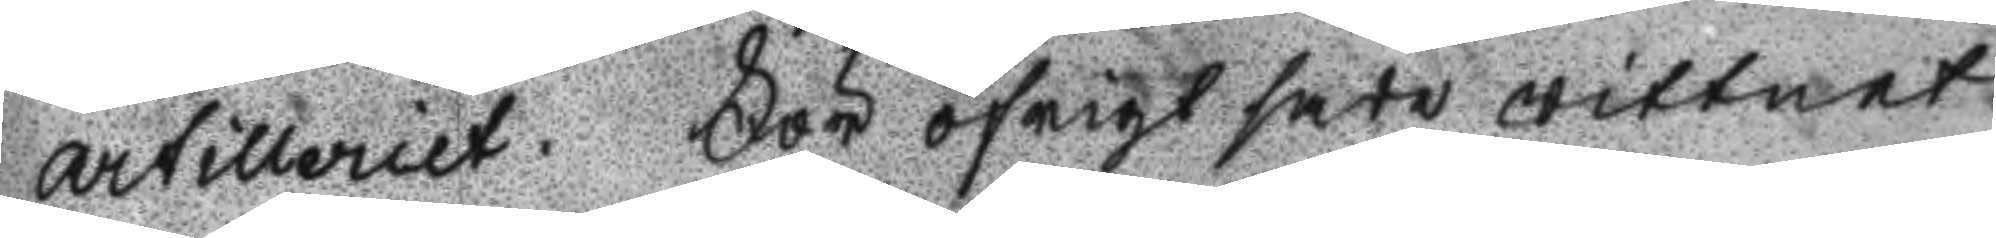Artilleriet. För öfrigt sade wittnet
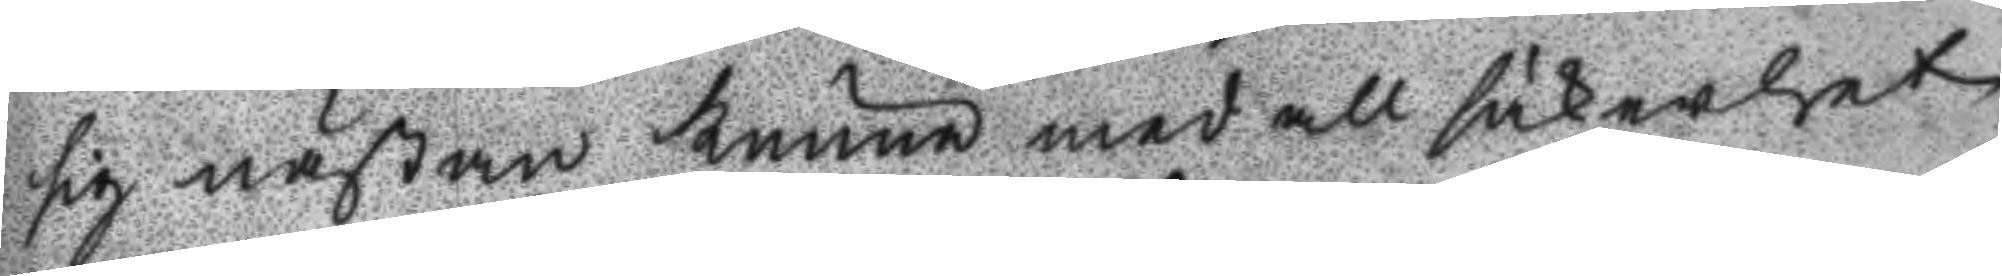sig nästan kunna med all säkerhet
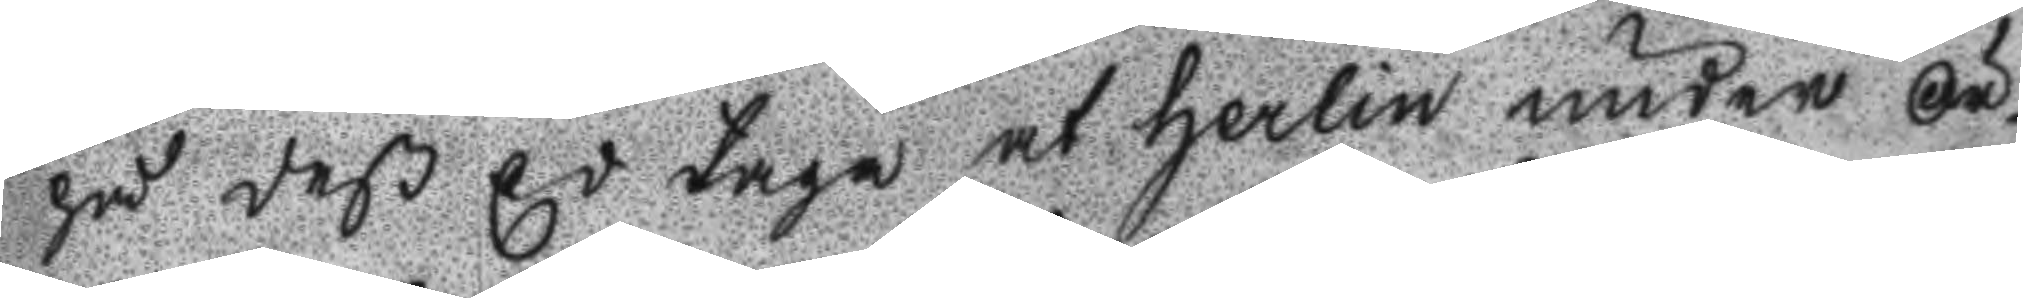på deß d taga at herlin under Ör¬
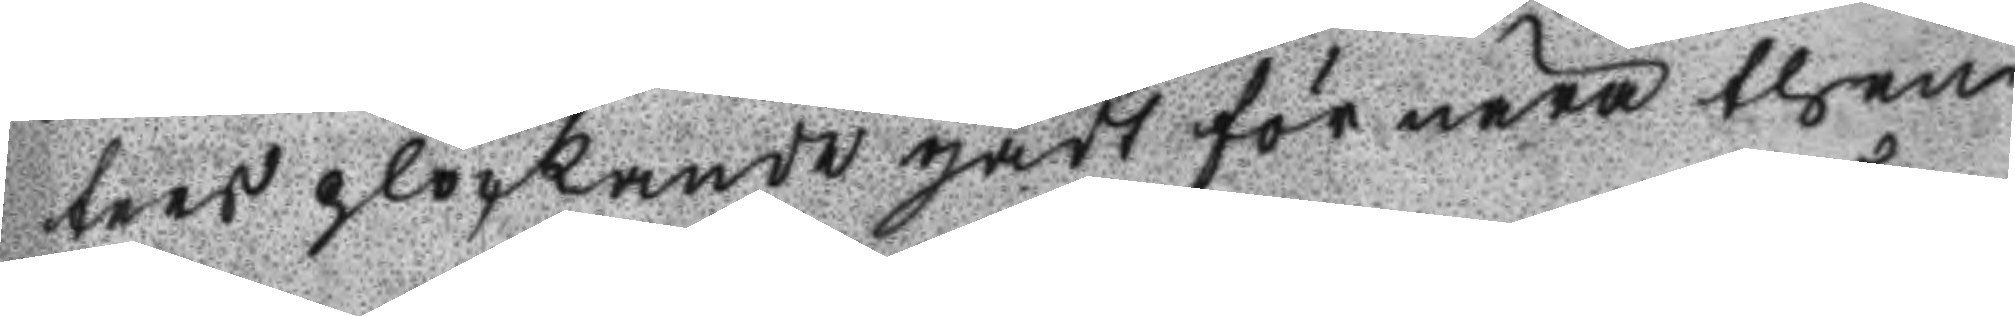ters plockande gådt för nära then
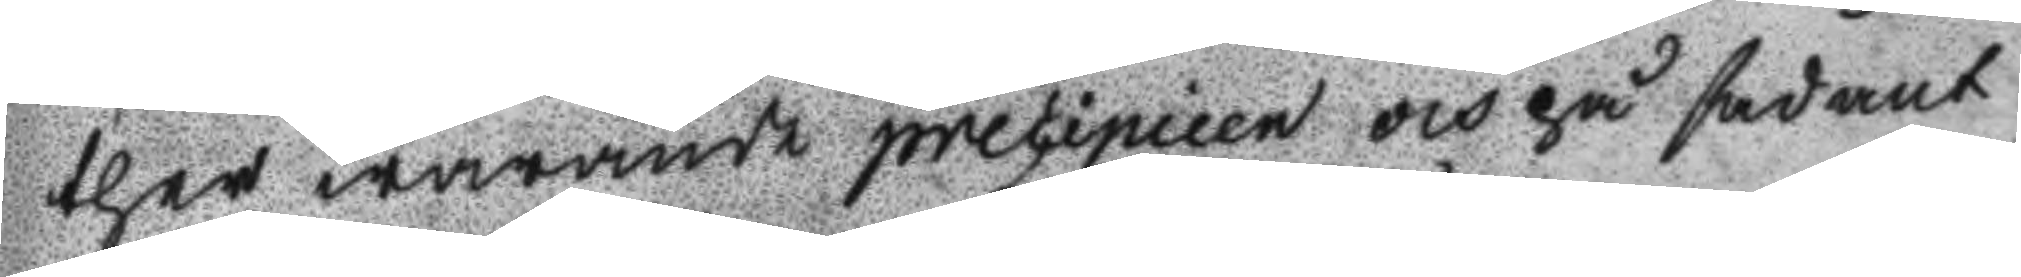ther warande precipieen och på spdant
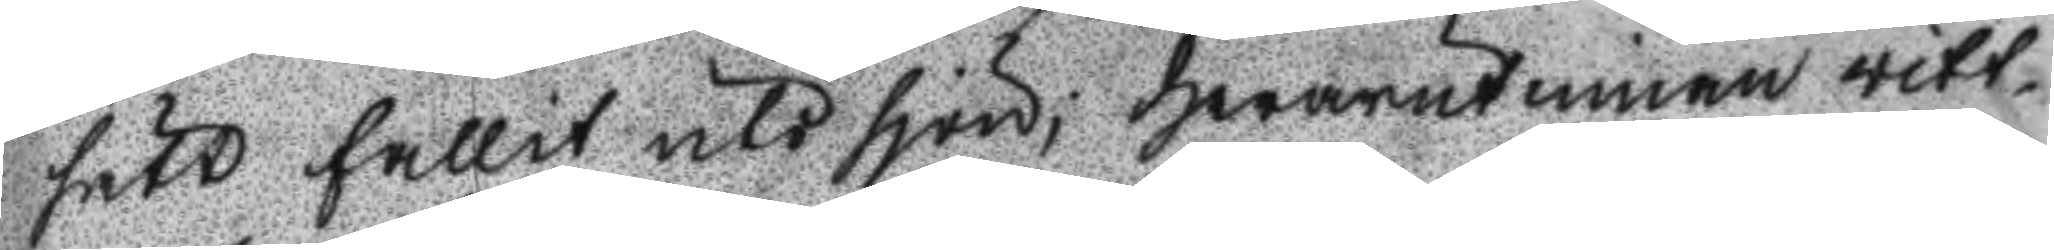sätt fallit uti sjön; Hwarutinnan witt¬
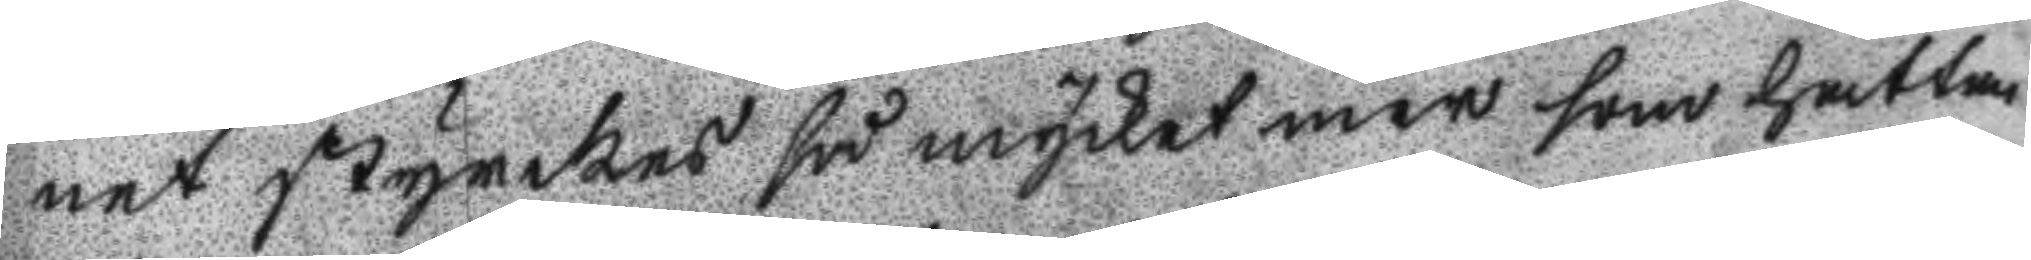net styrkes så mycket mer som hatten
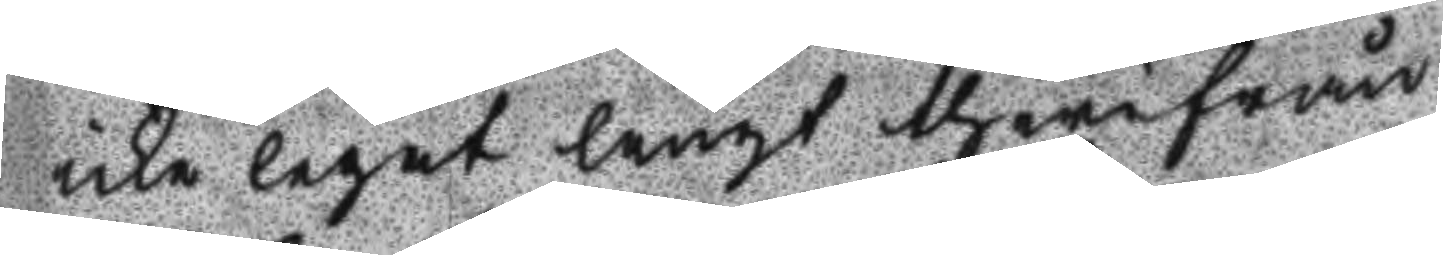icke legat långt therifrån.
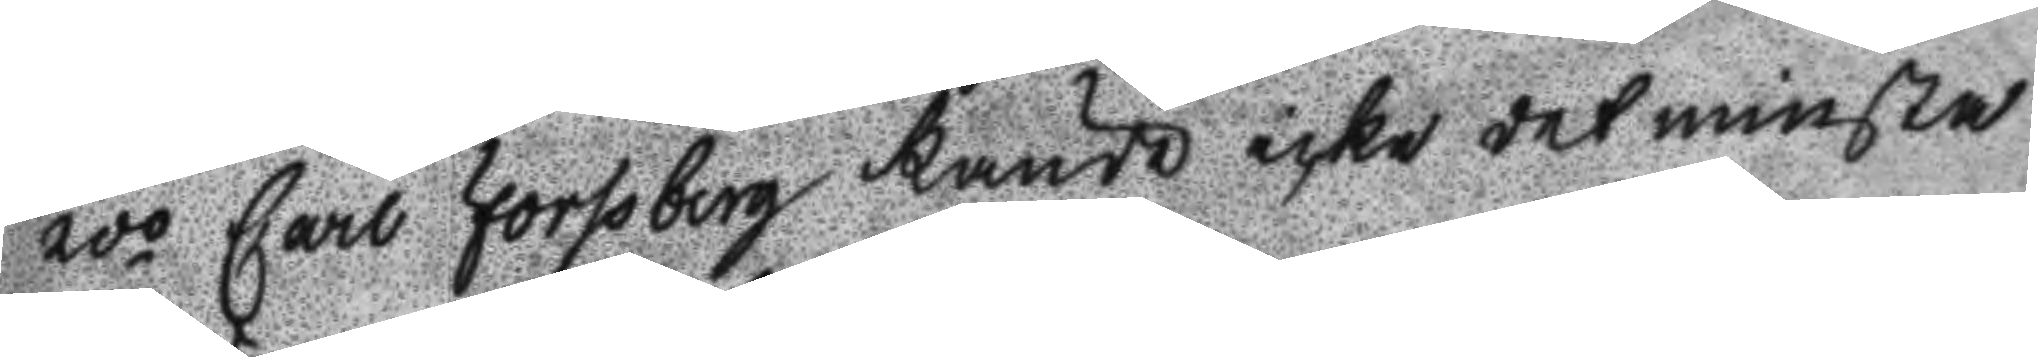2do Carl Forsberg kunde icke det minsta
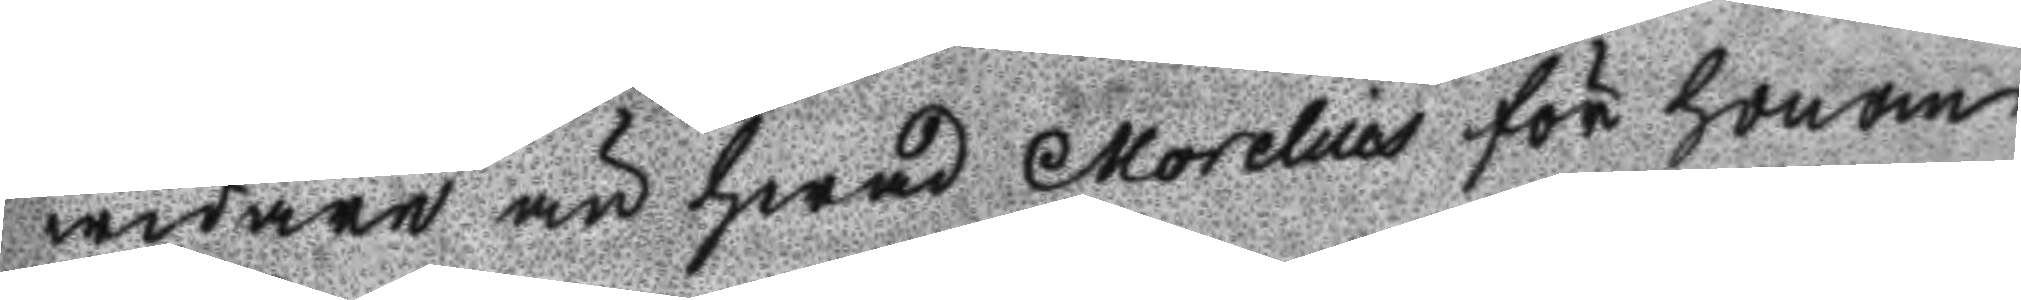widare än hwad Morelius för honom
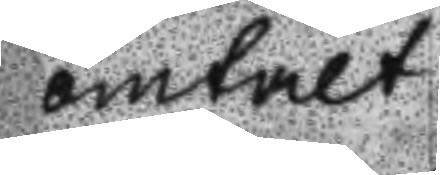omtalt.
